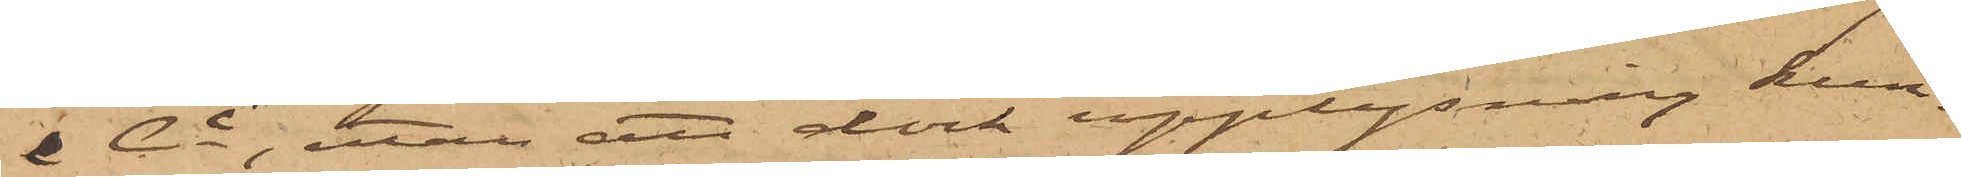& Ci, utan att dock upplysning kun¬
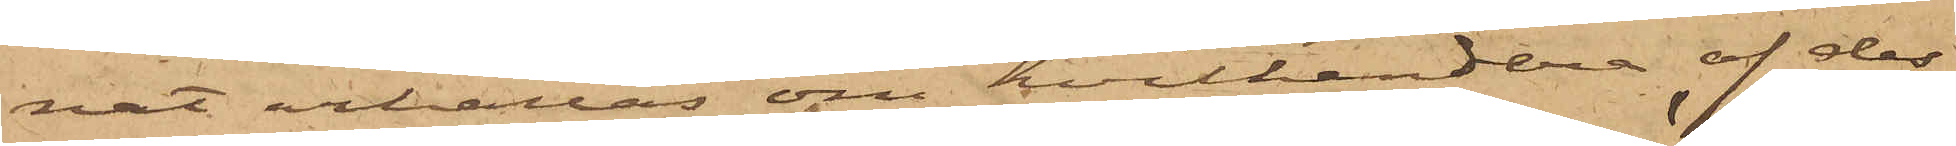nat erhållas om hvilkendera af des¬
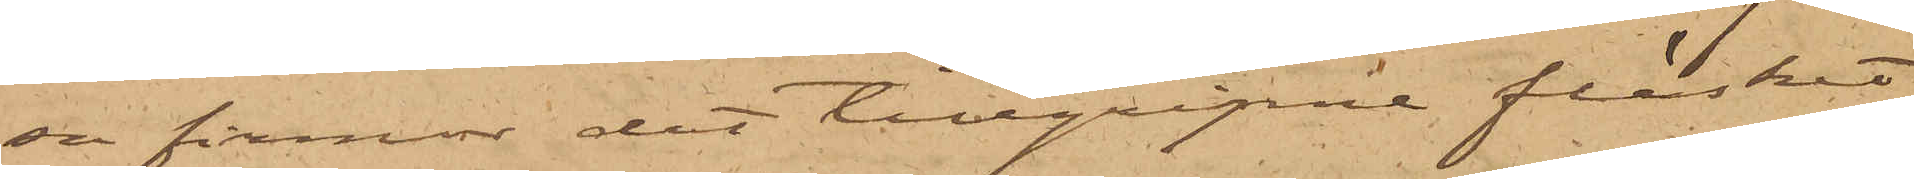sa firmor det tillgripne fläskat
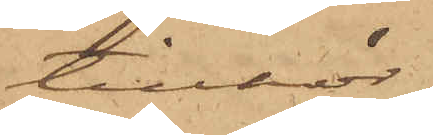tillhör.
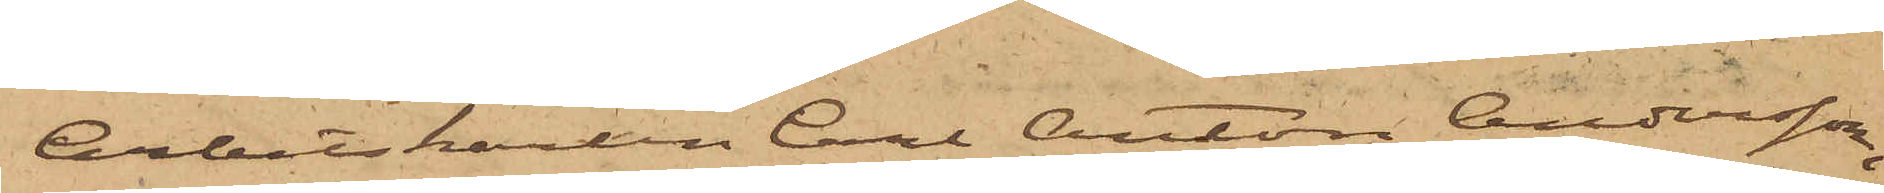Arbetskarlen Carl Anton Andersson,
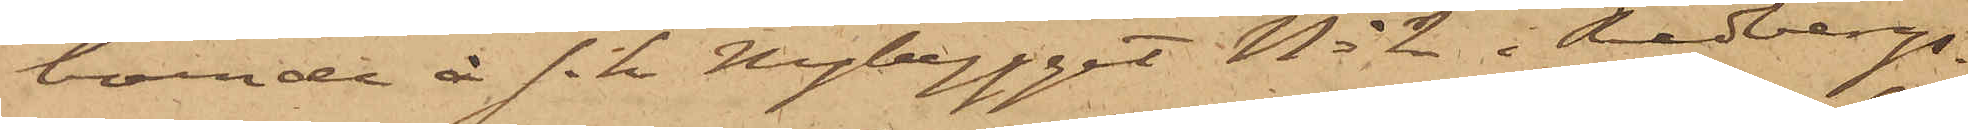boende å s.k. Nybygget No 2 i Redbergs¬
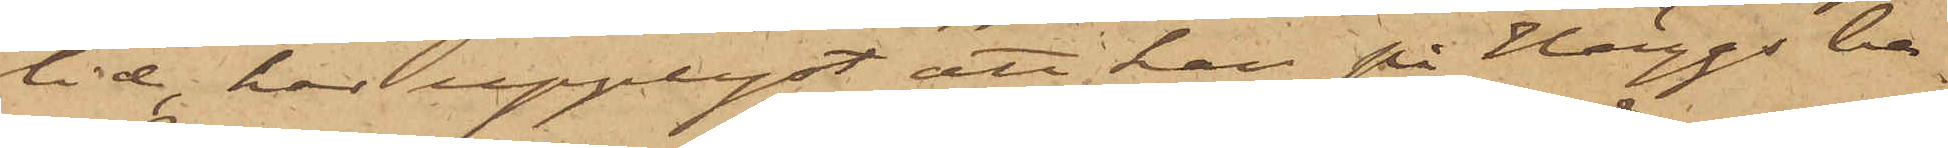lid, har upplyst, att han på Häggs be¬
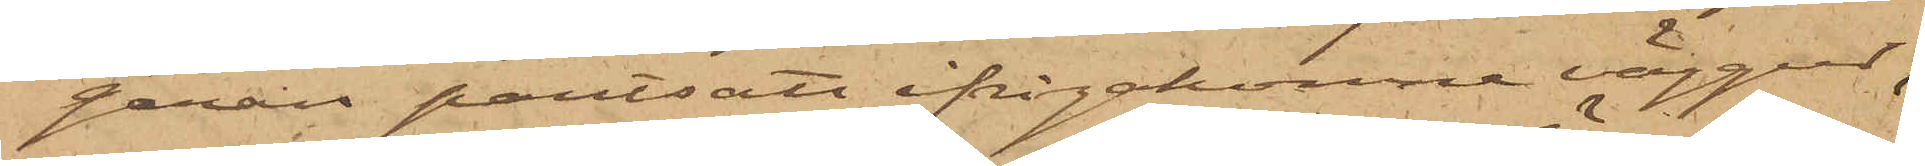gäran pantsatt ifrågakomne väggur,
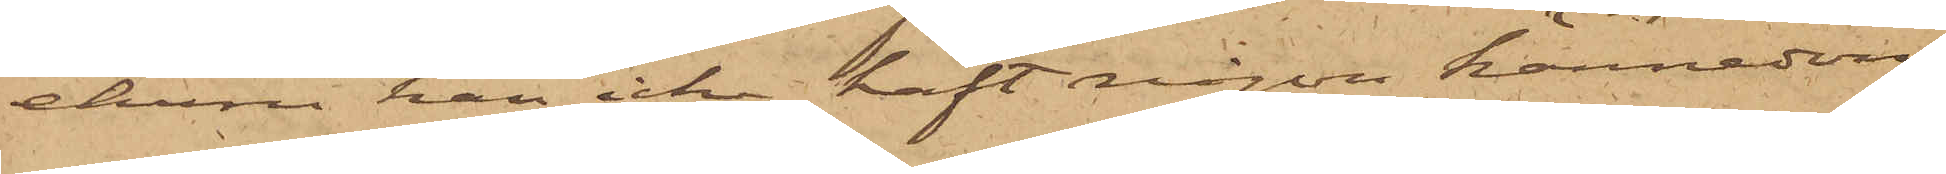ehuru han icke haft någon kännedom
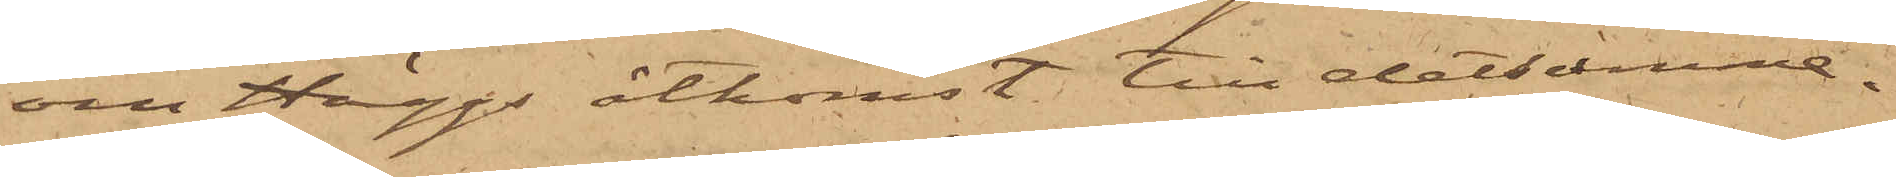om Häggs åtkomst till detsamma.
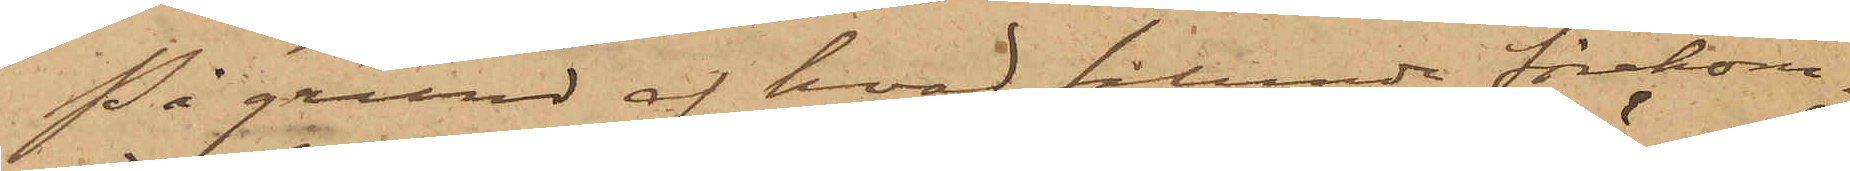På grund af hvad sålunda förekom¬
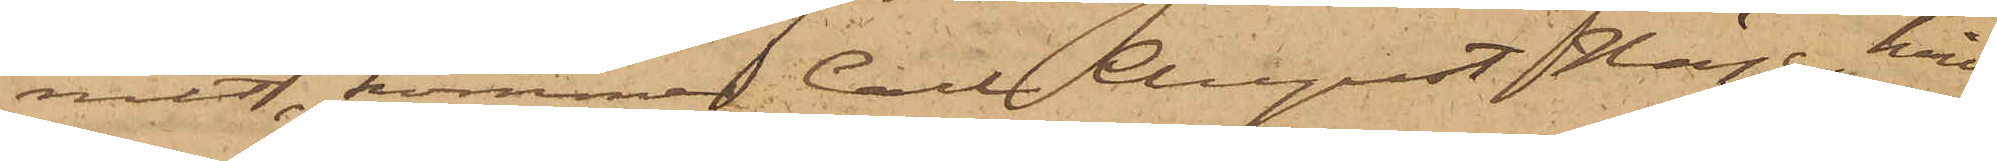mit, kommer Carl August Hägg, hvil¬
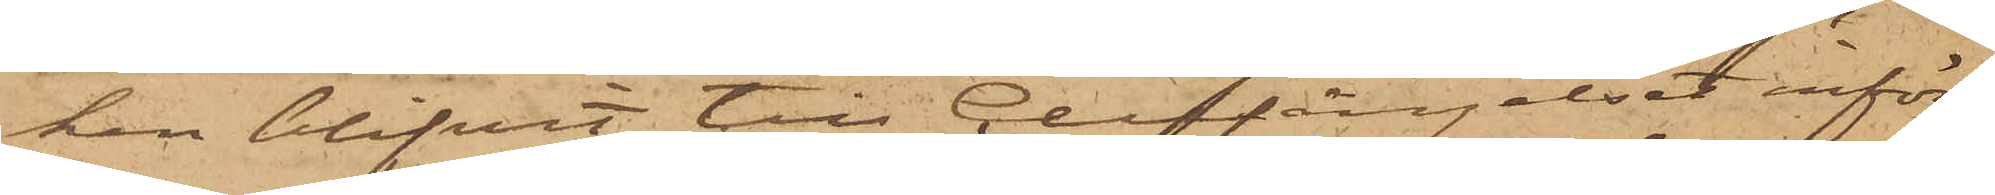ken blifvit till Cellfängelset inför¬
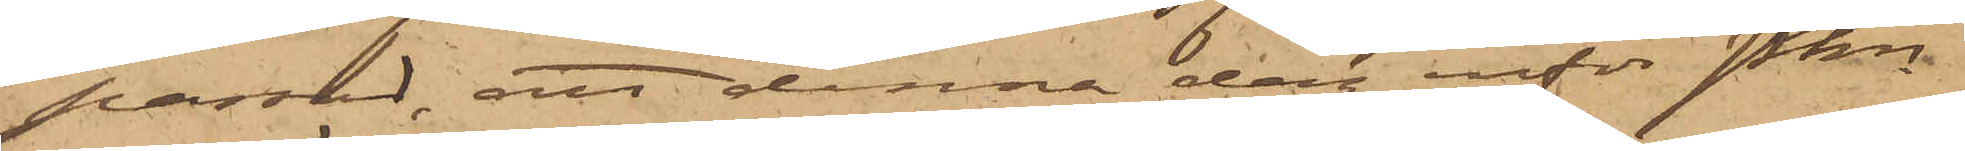passad, att denna dag inför Pkn
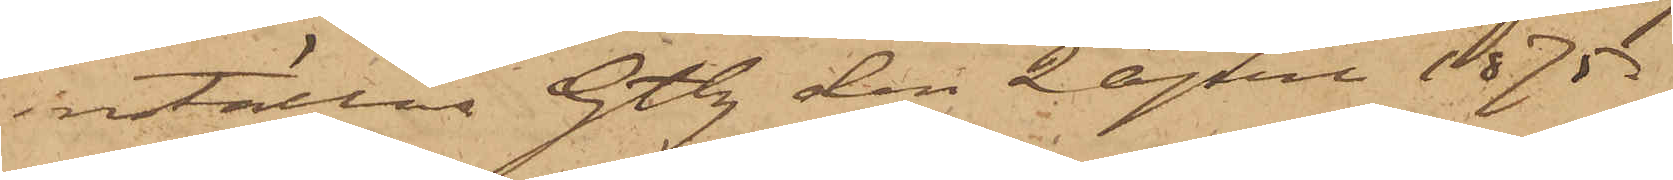inställas. Gtbg den 2 April 1875.
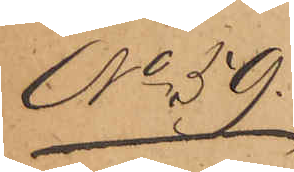No 59.
